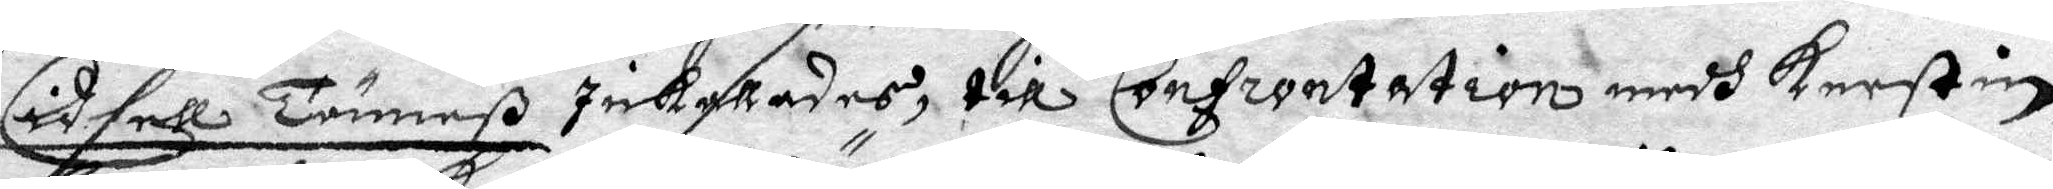Cidsell Tönneß inkallades, till Confrontation med Kerstin
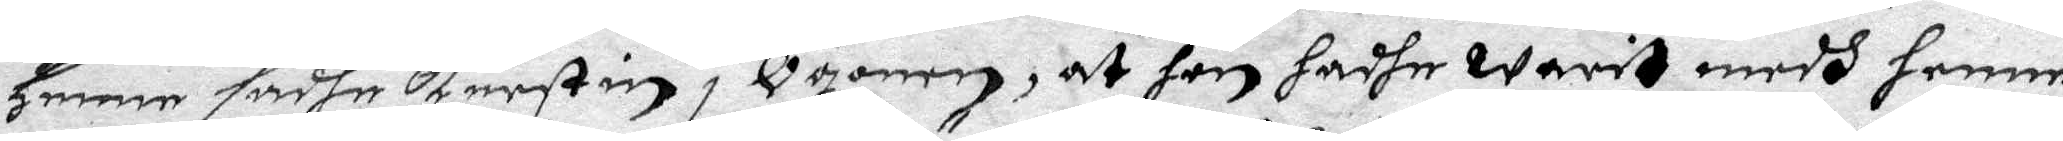henne sadhe Kerstin i Ögonen, at hon hadhe warit medh henne
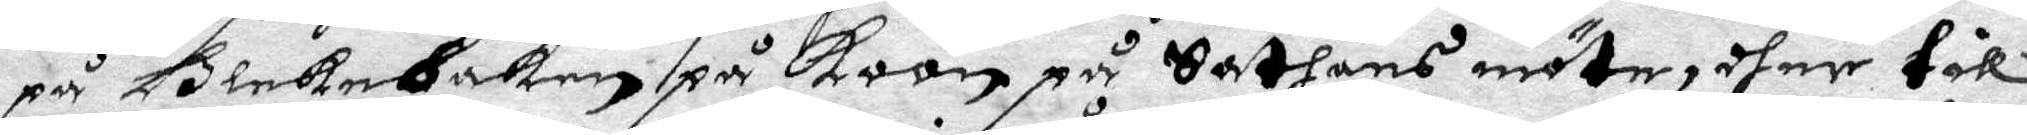på Bleckebaken på Koön på Sathans möte, dher till
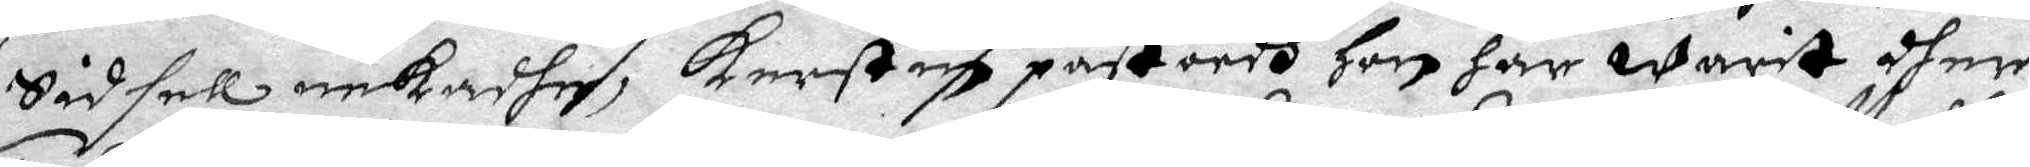Sidsell nekadhe, Kerstin påstoodh hon har warit dher
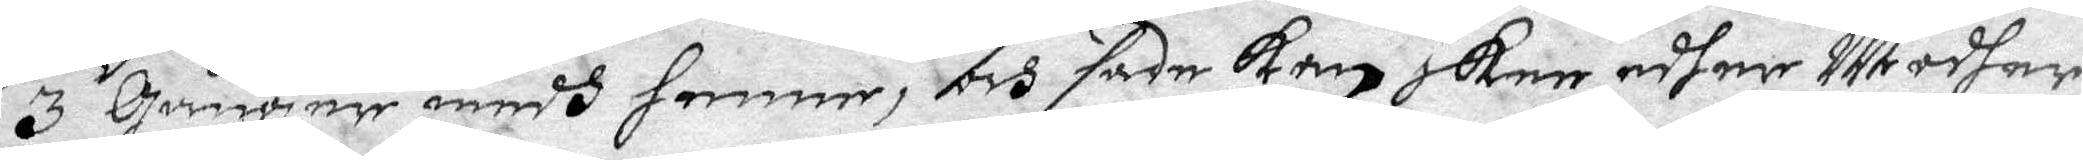3 Gånger medh henne, och sade kan skee edher Modher
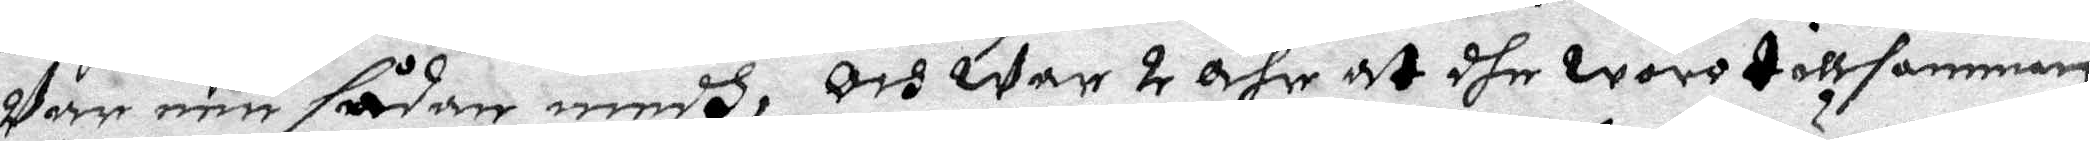Var een sådan medh, och war 2 åhr at dhe woro tillsamman,
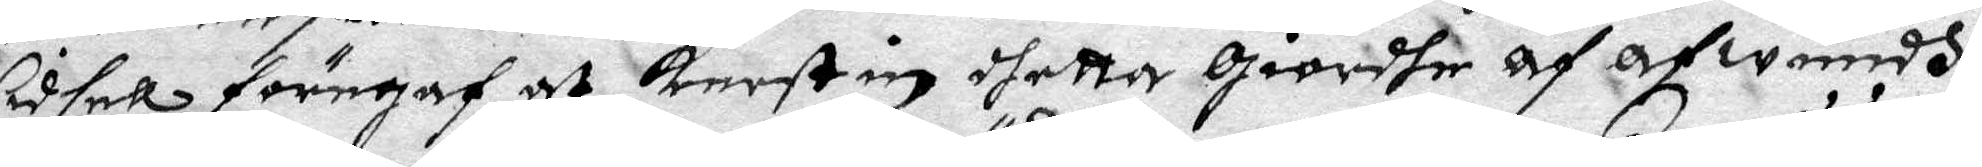Cidsell föregaf at Kerstin dhetta Giordhe af afwundh,
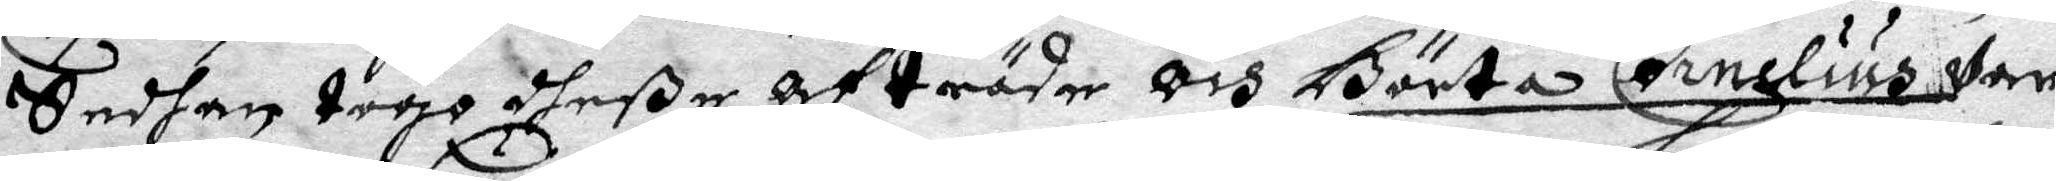Sedhan togo dheße afträde och Börta Cornelius war
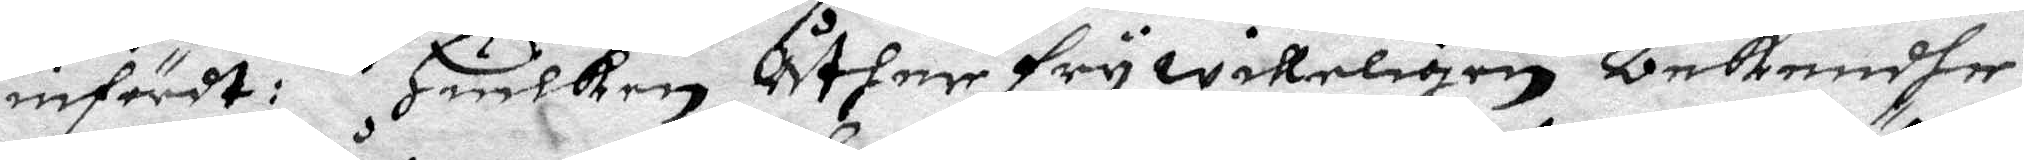infärdt: Huilken åther frywilligen bekendhe,
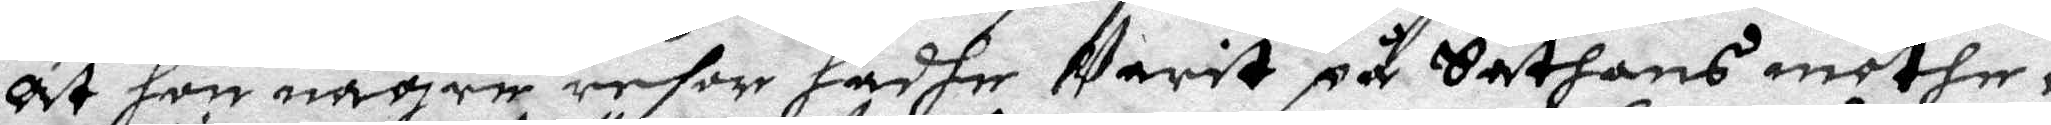at hon någre resor hadhe warit på Sathans möthe,
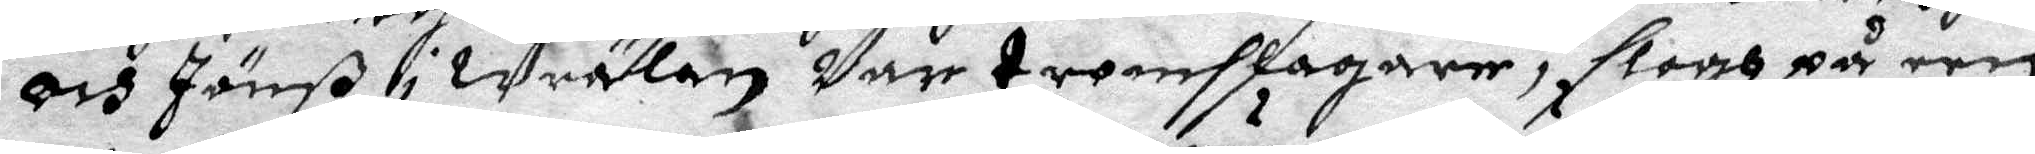och Jönß i Wrälen Var tromslagare, logh på een
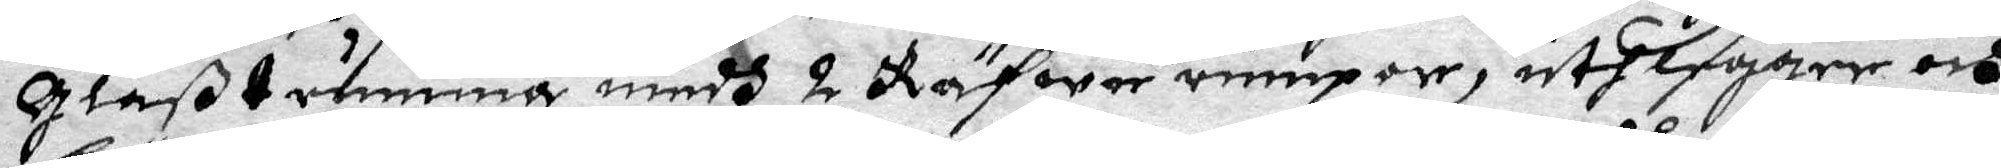Glaßtrumma medh 2 Räfwe rumpor, uthlegger och
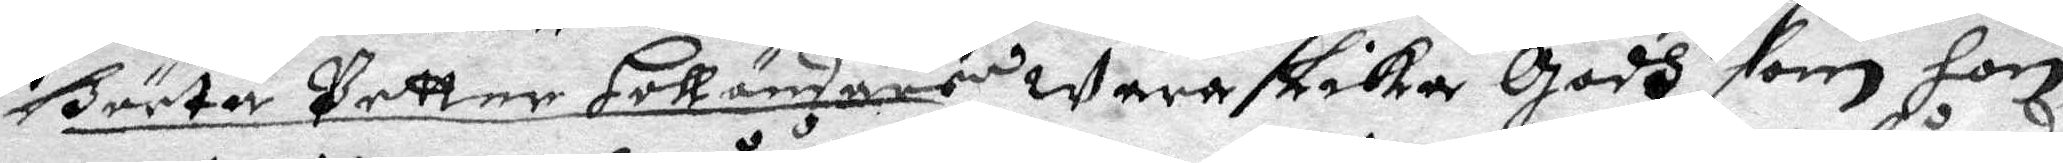Börta Petter Holländars wara Lika Godh som hon,
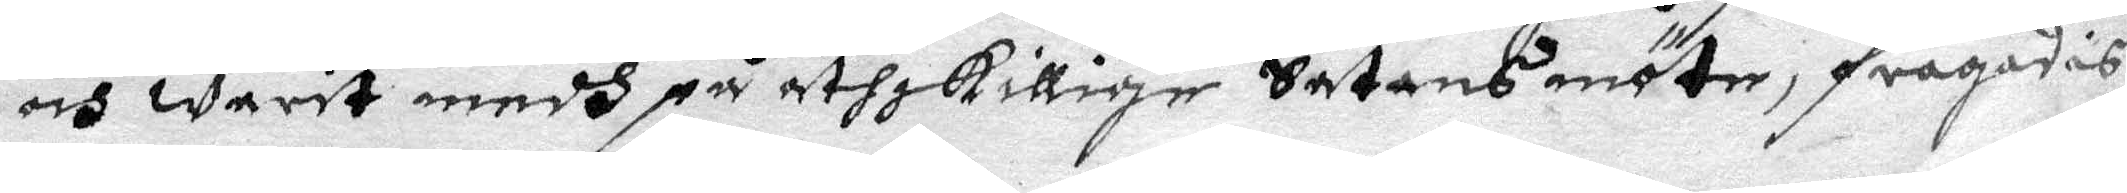och warit medh på åthskillige Satans möte, frågades
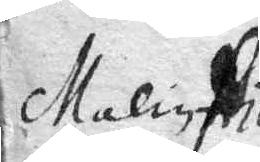Malin Nils
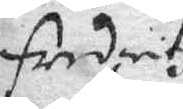fredrichz
